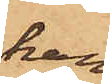han
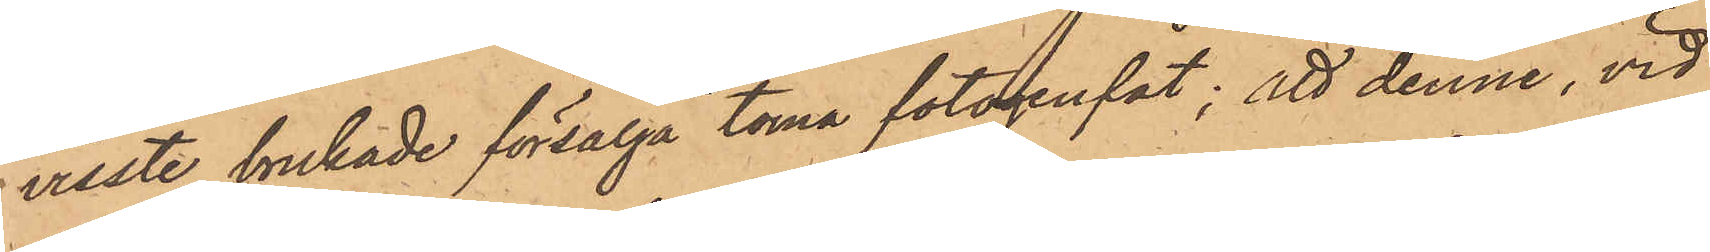visste brukade försälja toma fotogenfat; att denne, vid
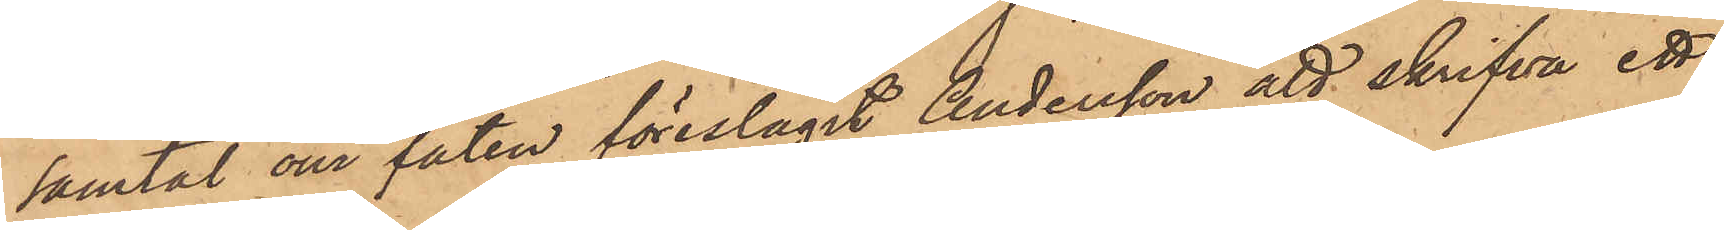samtal om faten föreslagit Andersson att skrifva ett
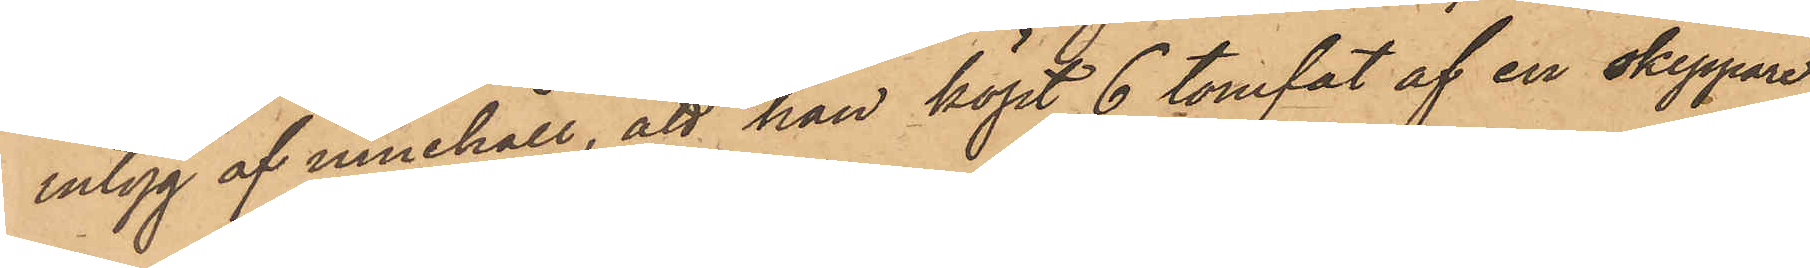intyg af innehåll, att han köpt 6 tomfat af en skeppare
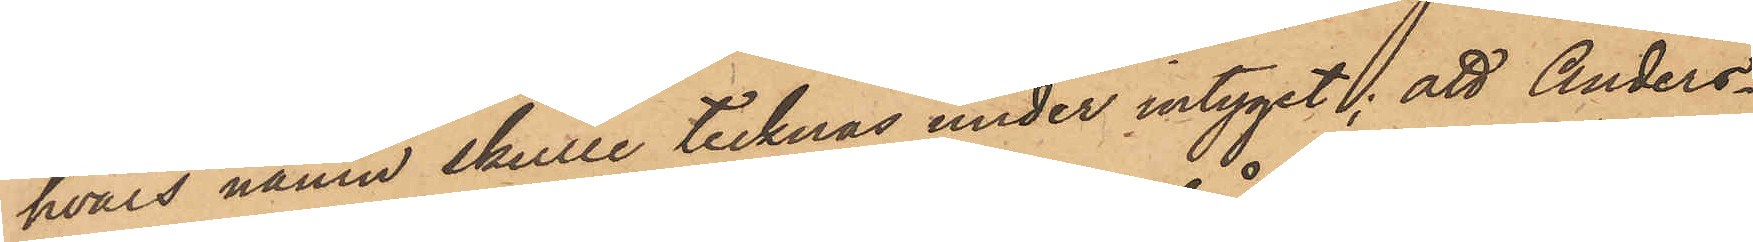hvars namn skulle tecknas under intyget; att Anders¬
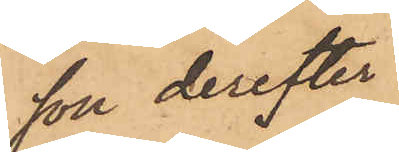son derefter
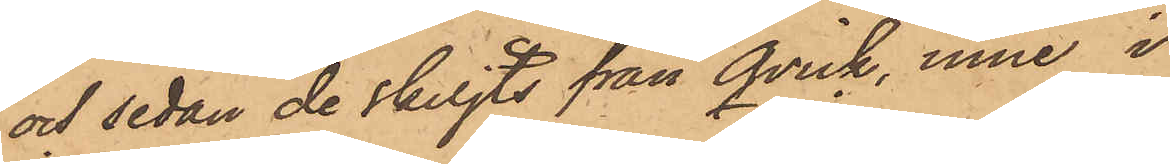och sedan de skiljts från Qvick, inne i
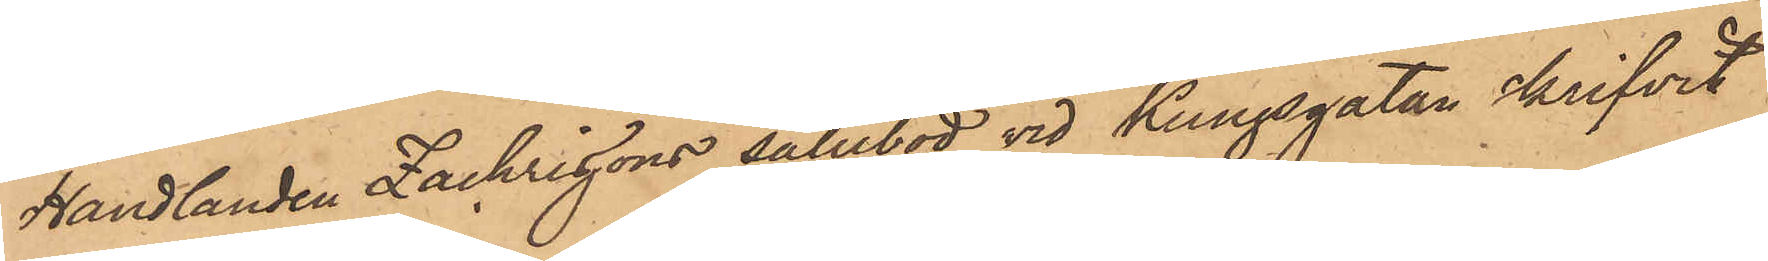Handlanden Zachrissons salubod vid Kungsgatan skrifvit
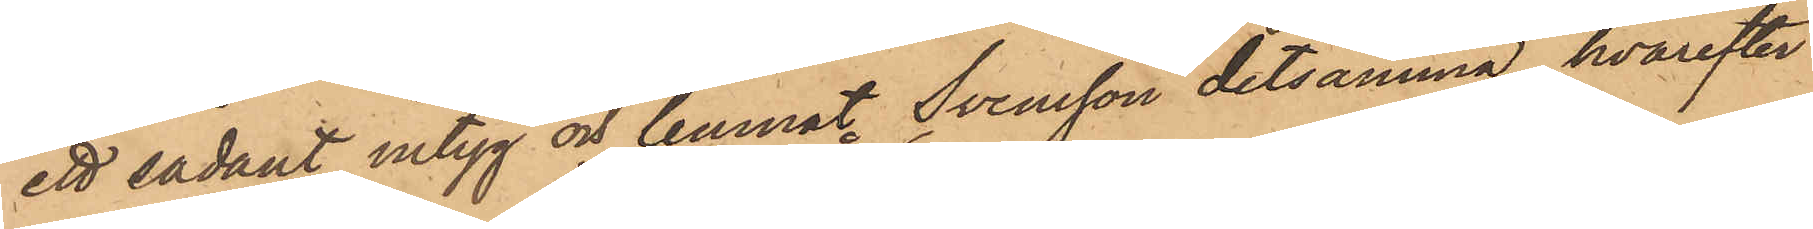ett sådant intyg och lemnat Svensson detsamma, hvarefter
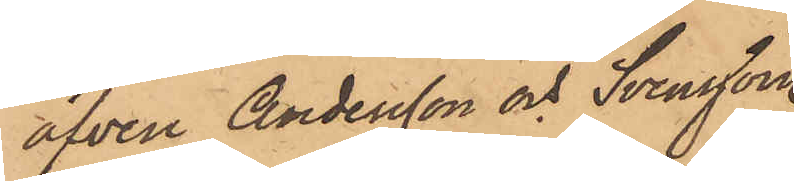äfven Andersson och Svensson
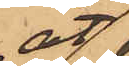åt¬
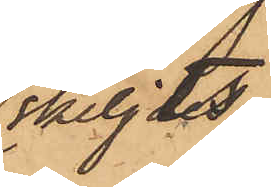skiljdes;
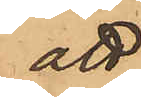att
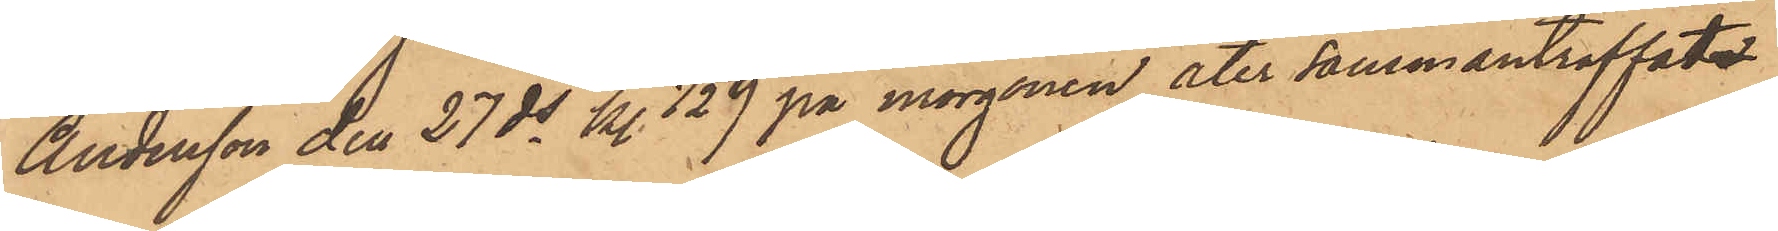Andersson den 27 ds kl. 1/2 9 på morgonen åter sammanträffats
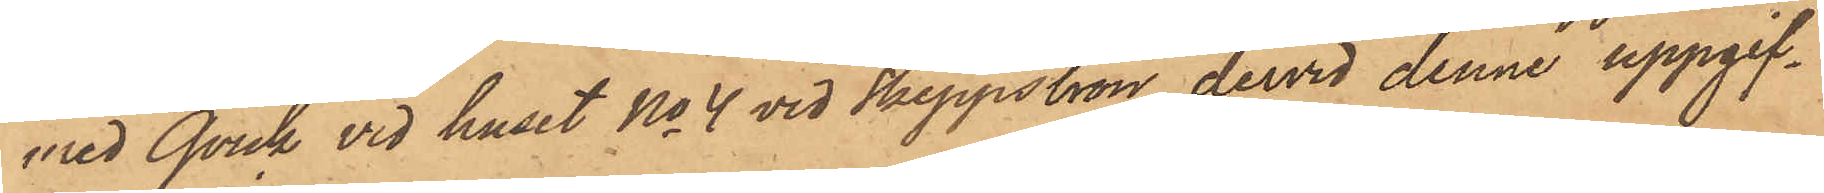med Qvick vid huset No 4 vid Skeppsbron dervid denne uppgif¬
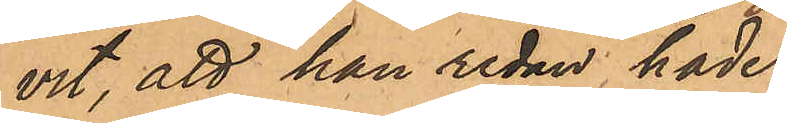vit, att han redan hade
